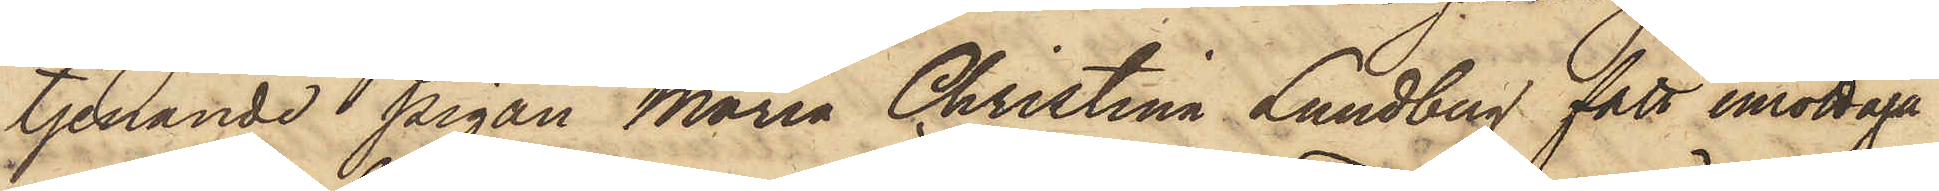tjenande pigan Maria Christina Lundberg fått mottaga
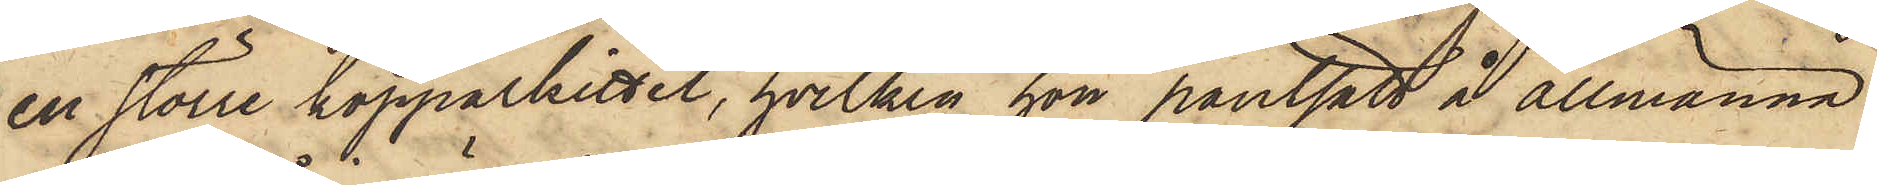en större kopparkittel, hvilken hon pantsatt å Allmänna
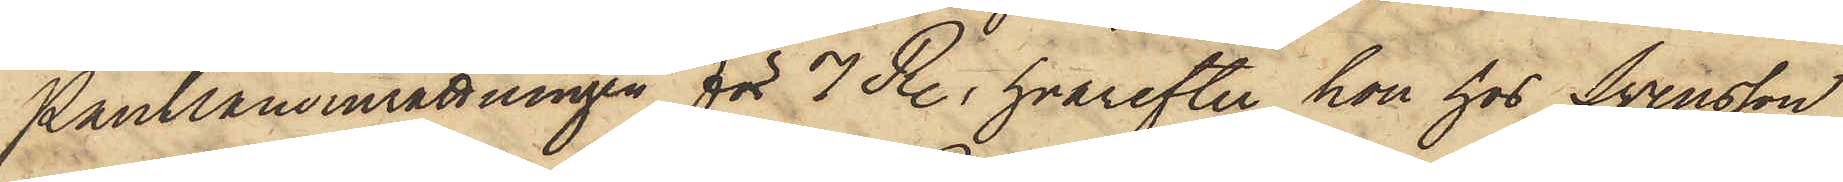Pantlåneinrättningen för 7 R., hvarefter hon hos Svensson
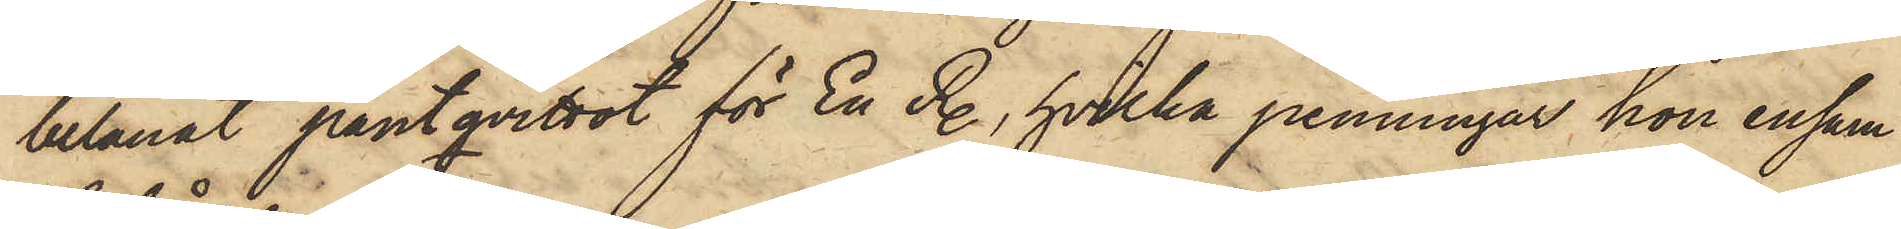belånat pantqvittot för En R., hvilka penningar hon ensam
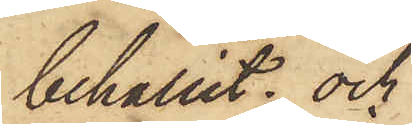behållit; och
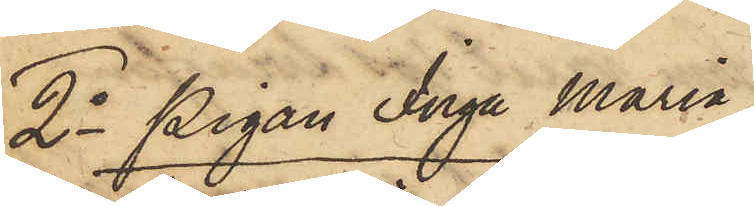2o Pigan Inga Maria
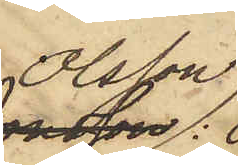Olsson:
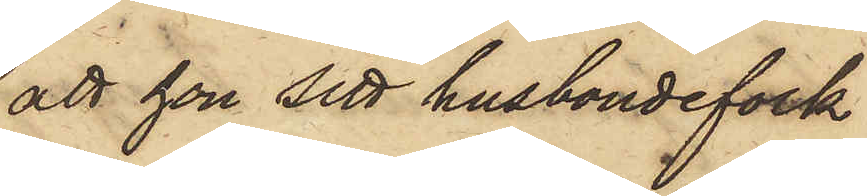att hon sitt husbondefolk
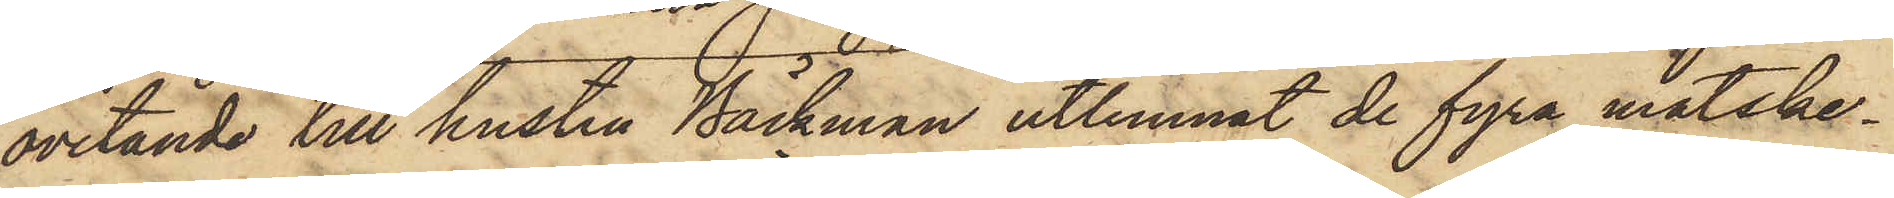ovetande till hustru Bäckman utlemnat de fyra matske¬
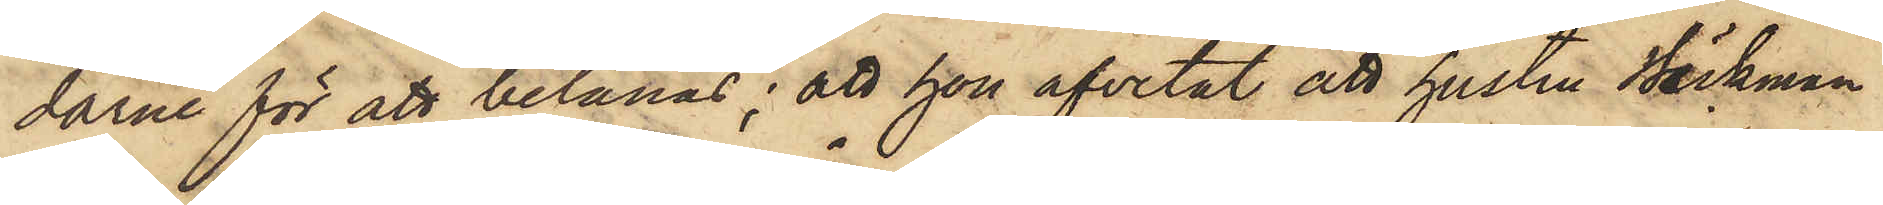darne för att belånas; att hon afvetat att hustru Bäckman
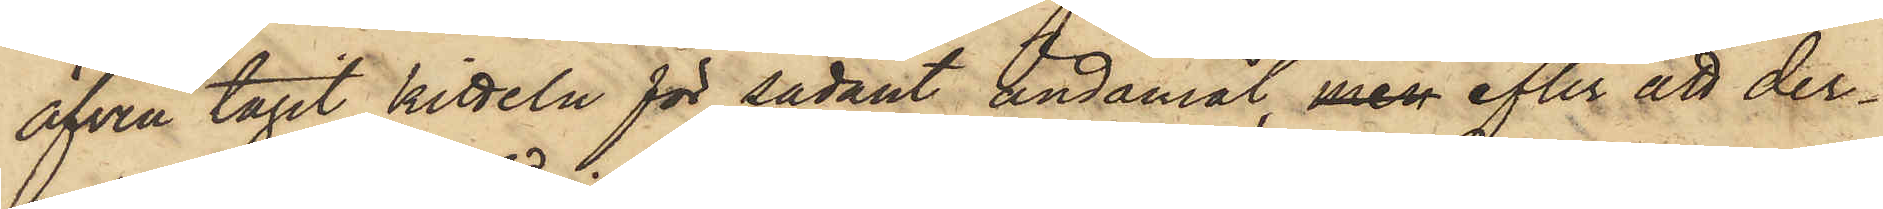äfven tagit kitteln för sådant ändamål, men efter att der¬
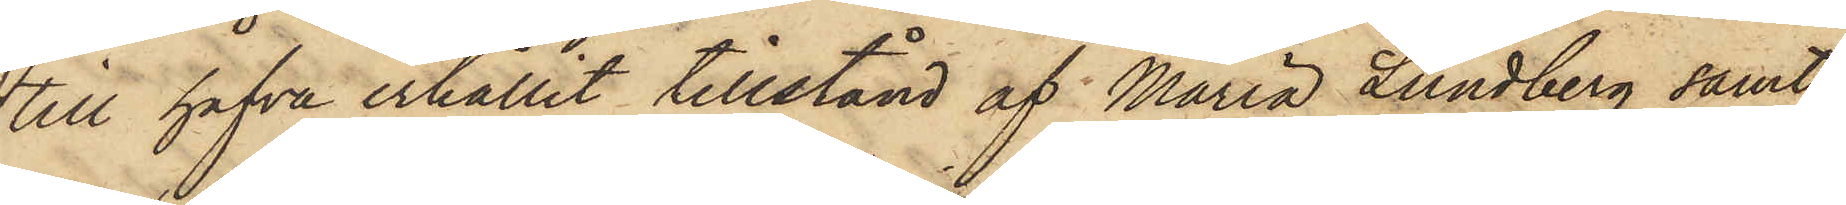till hafva erhållit tillstånd af Maria Lundberg samt
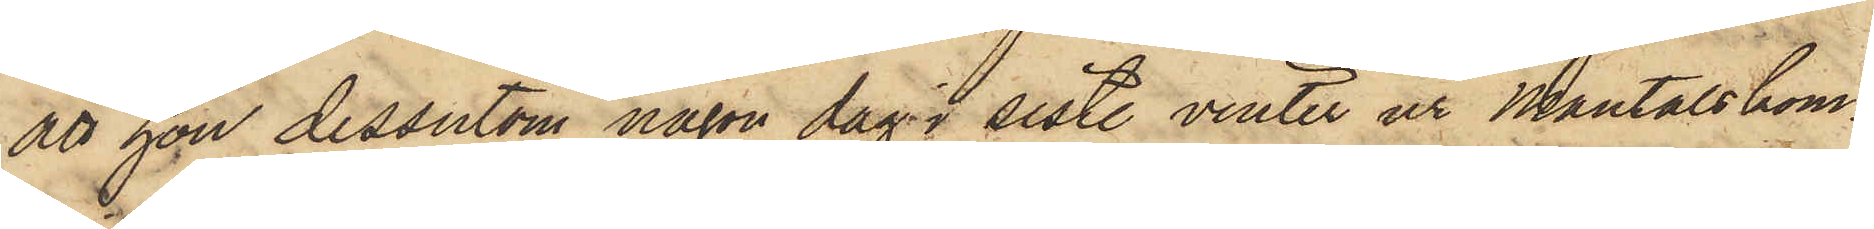att hon dessutom någon dag i sist. vinter ur Mantalskom¬
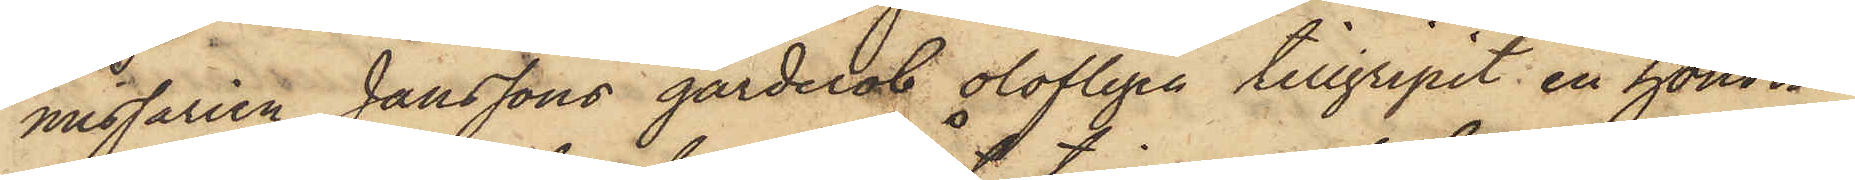missarien Janssons garderob olofligen tillgripit en honom
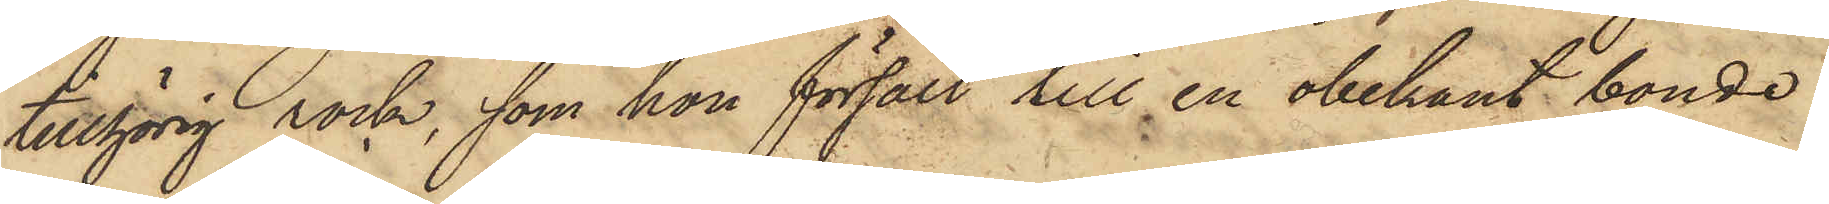tillhörig rock, som hon försålt till en obekant bonde
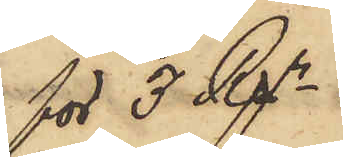för 3 Rgr.
